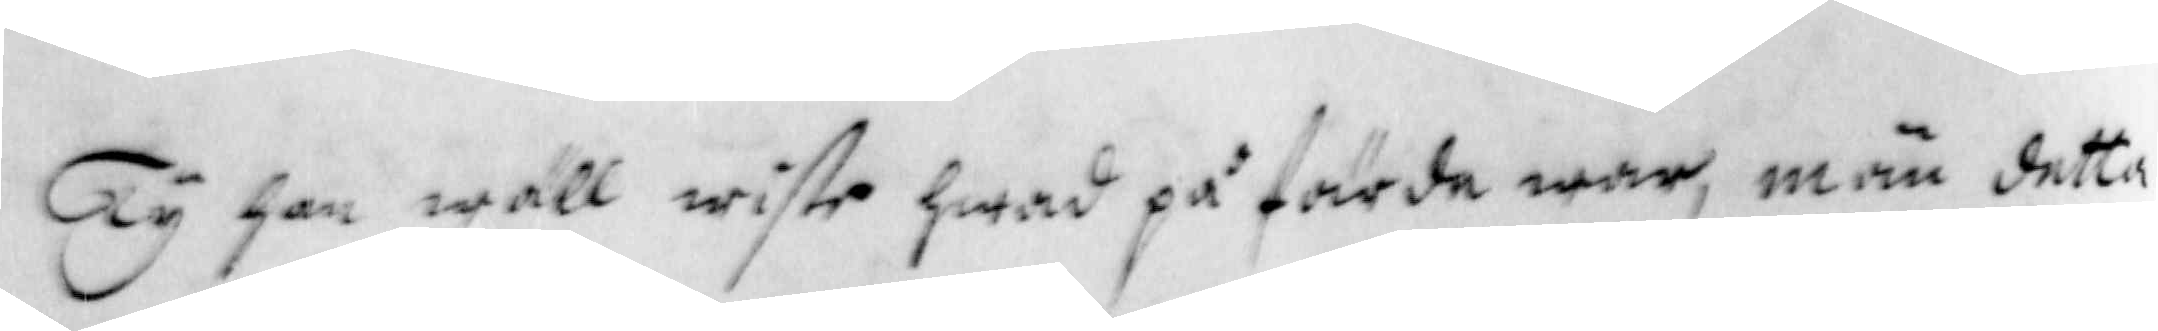Ty han wäll wiste hwad på färde war, män detta
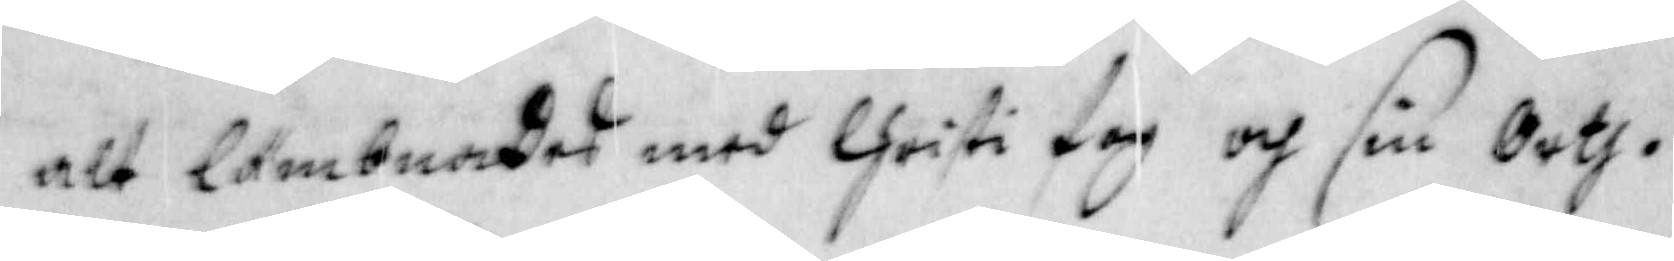alt lämbnades med Christi fog och sin Orth.
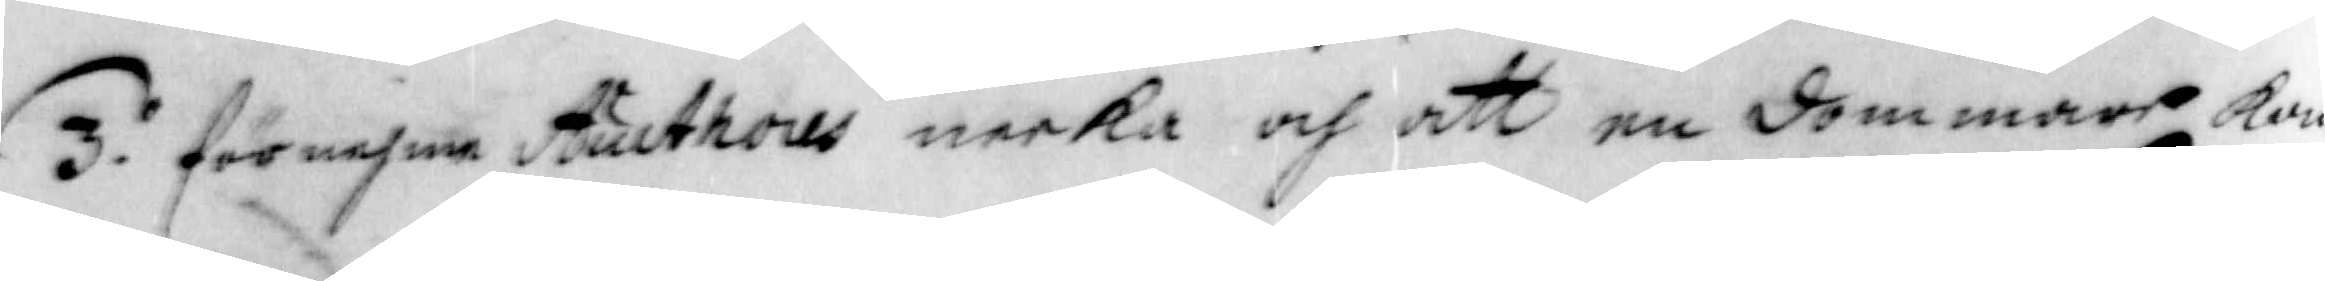3. förmehra Aucthores neeka och att en dommare kan
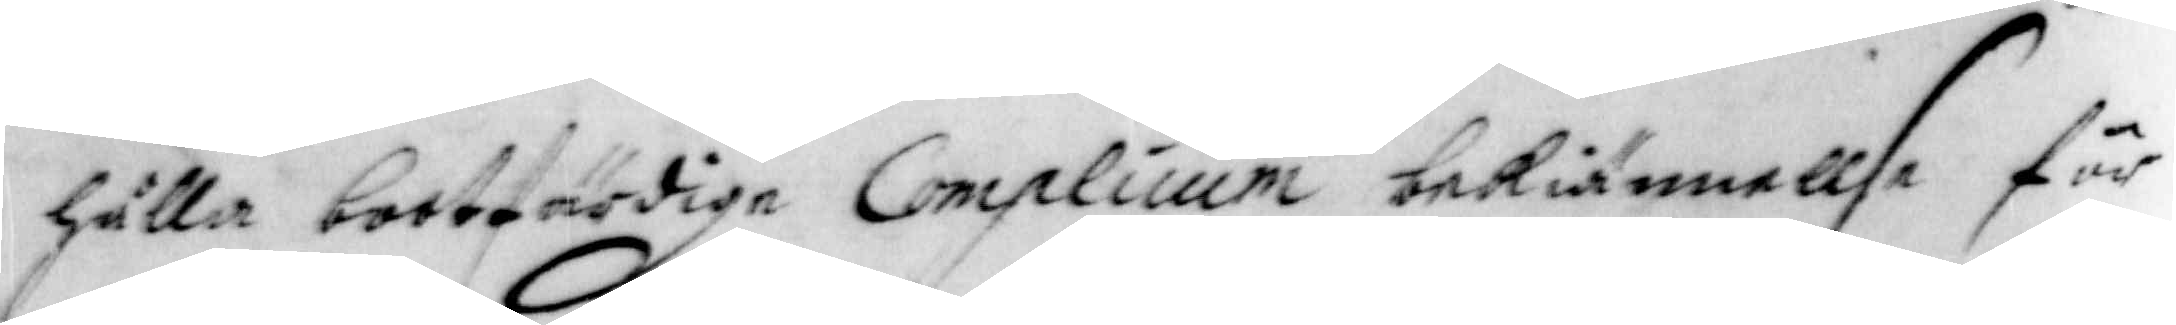hålla bootfärdige Complicium bekännellse för
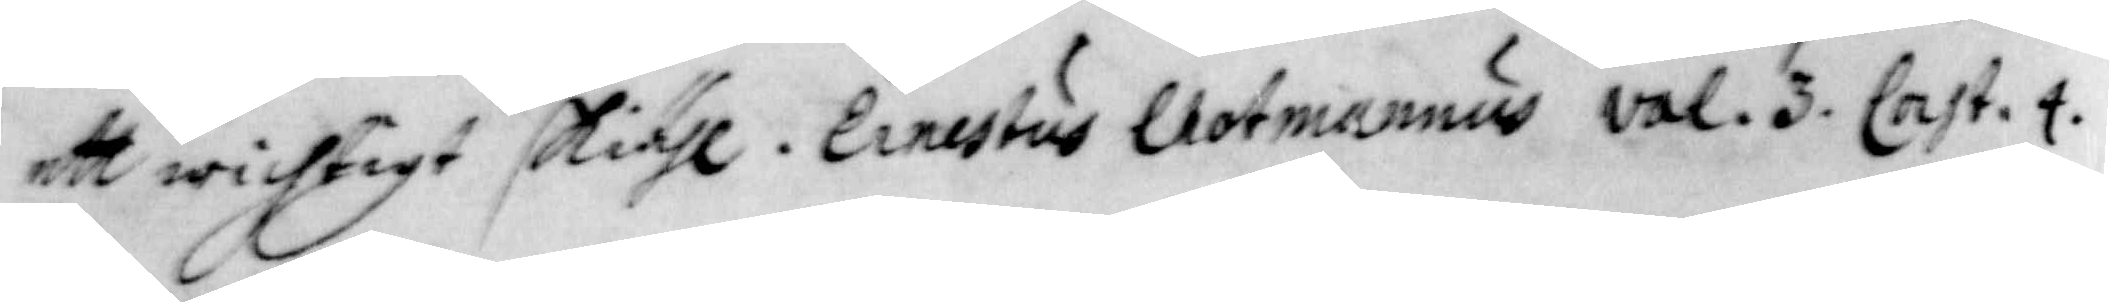ett wichtigt skiähl, Ernestus Caotmannus vol. 3. Cast. 4.
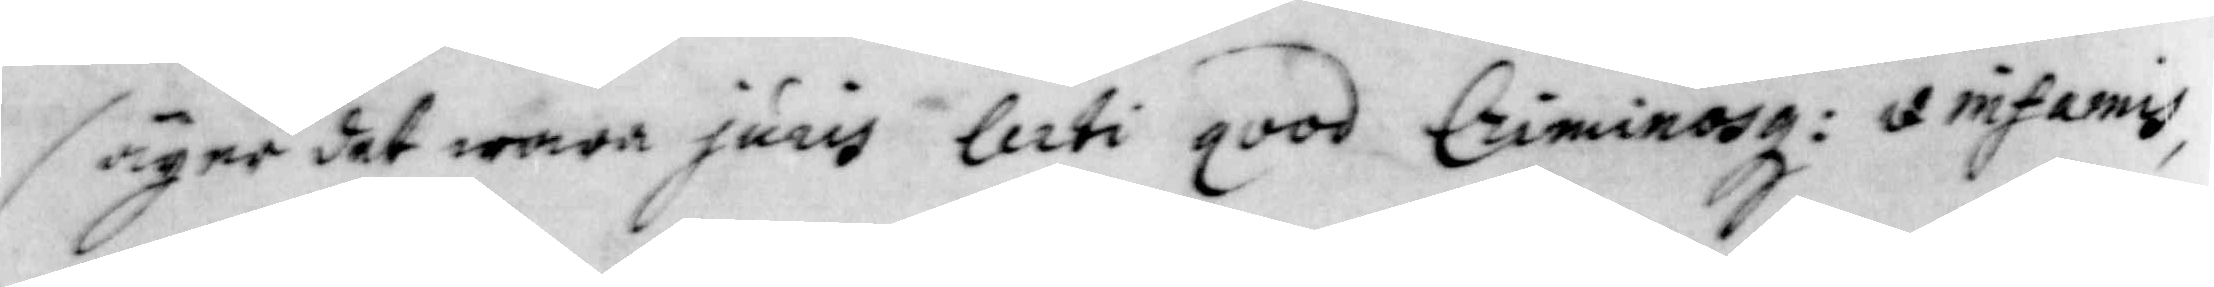säger det wara juris lerti qood Criminosg: q infamis
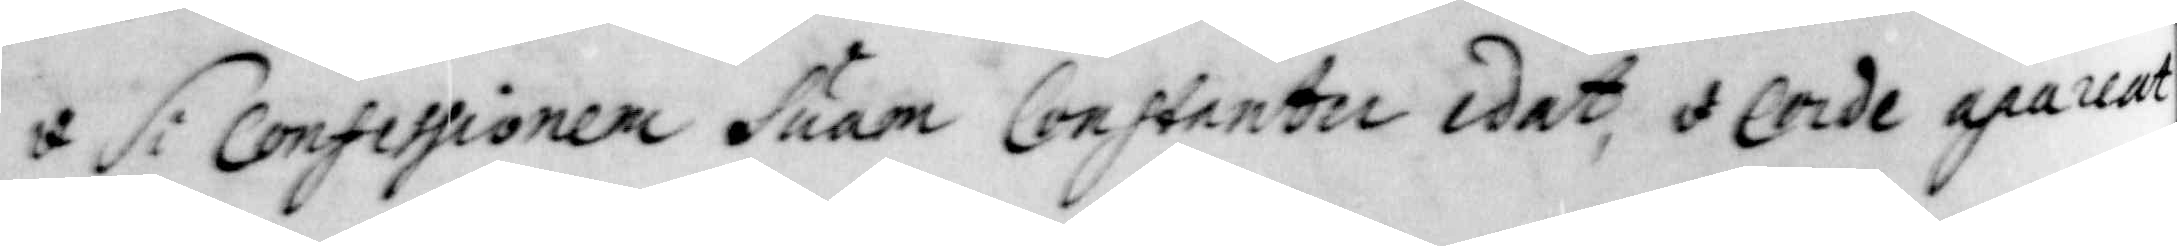q Si Confessionen Suam Constantu idat q Corde apareat
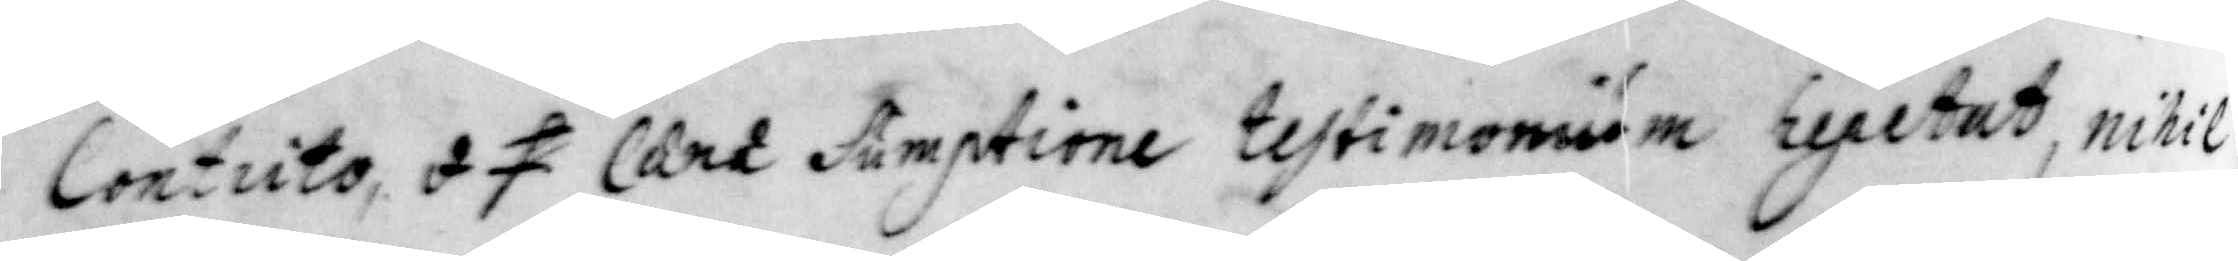Contuto, q f lart Sumptione testimonisum repetat, nihil
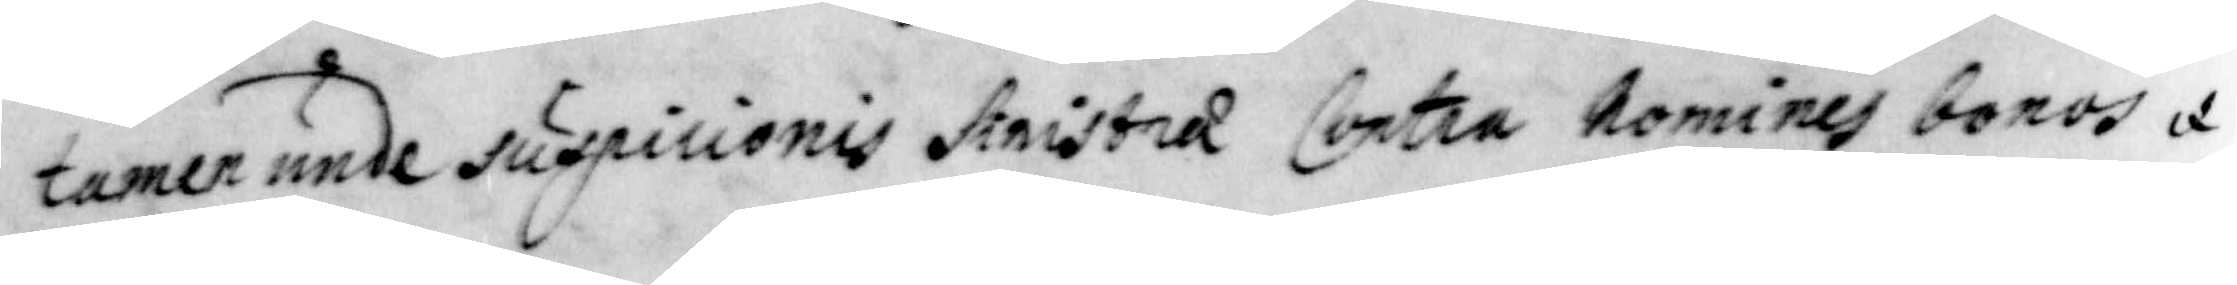tamen unde suspiciones stristra Contra nomines bonos q
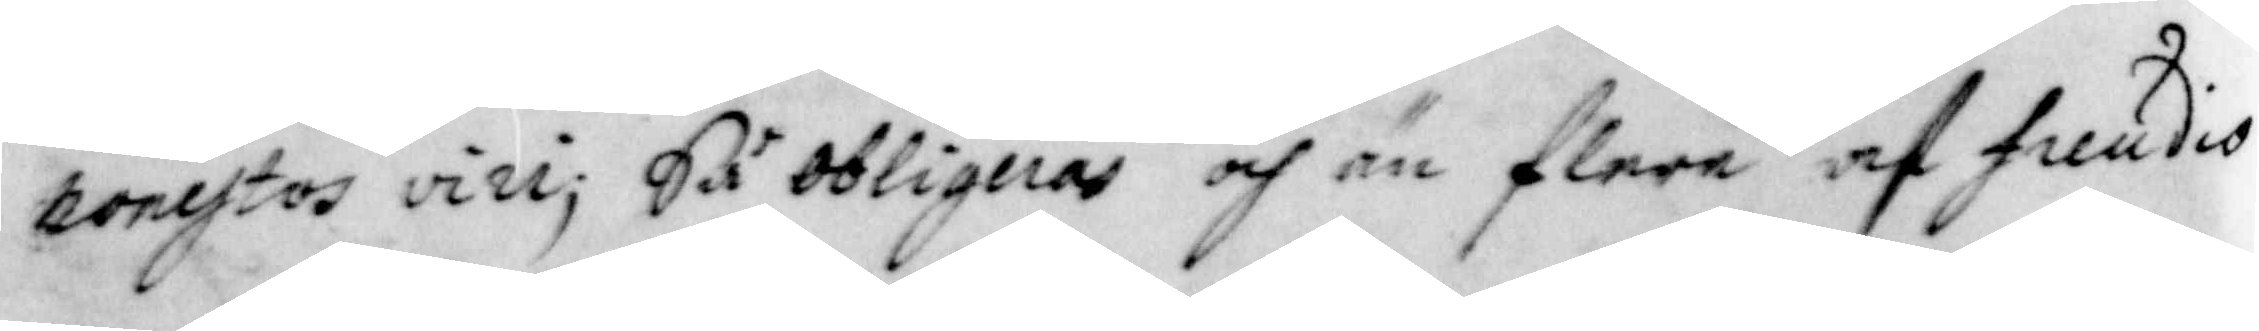nonestos vizi; Så obligerar och än flere af freudio
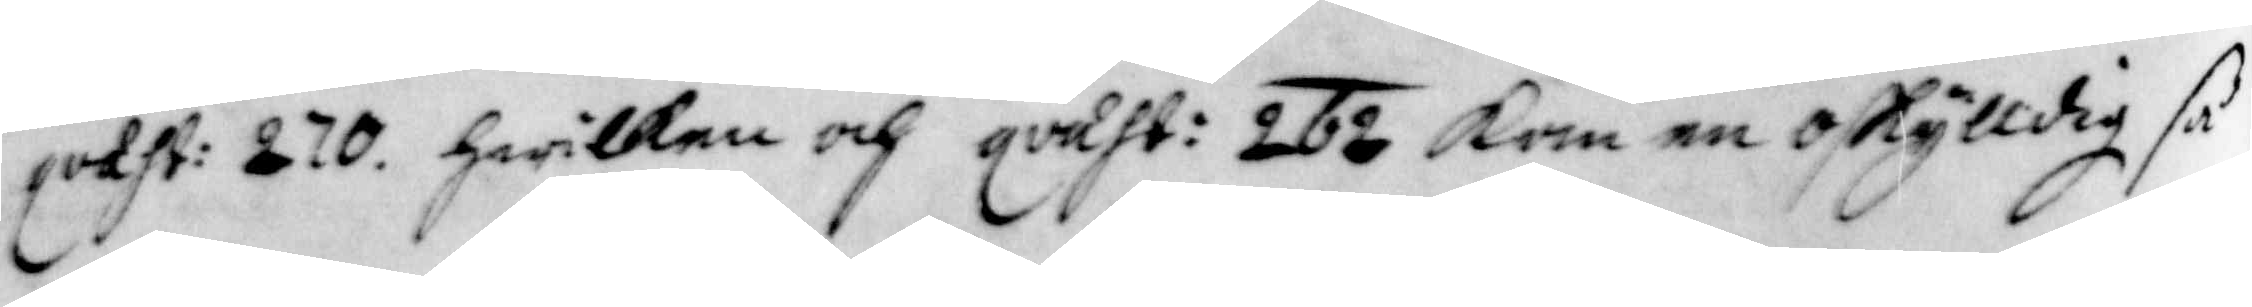qvaht: 270. hwilken och qvaht: 262 kan en oskylldig så
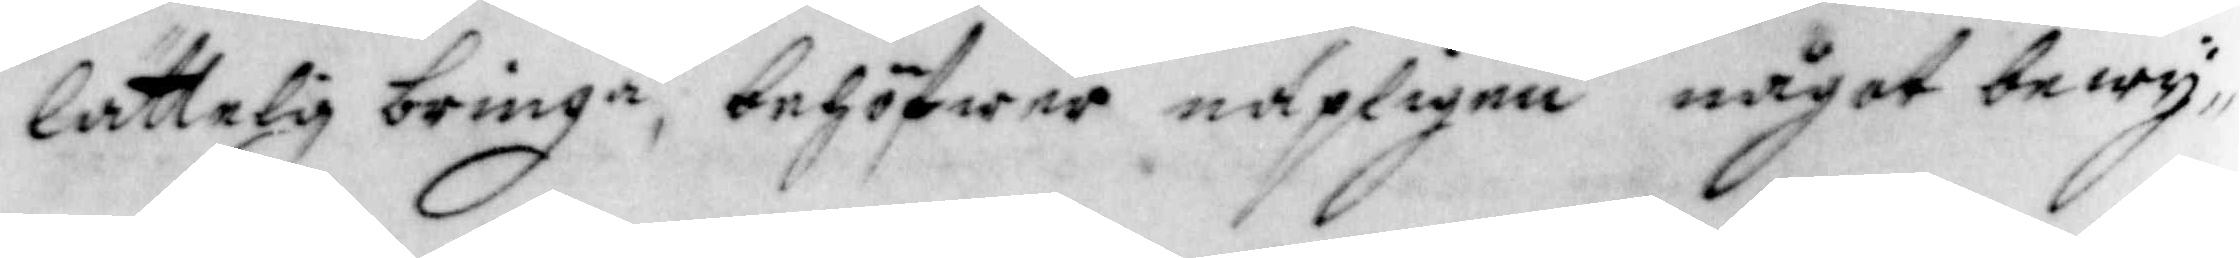lättelig bringa, behöfwer näpeligen något bewy¬
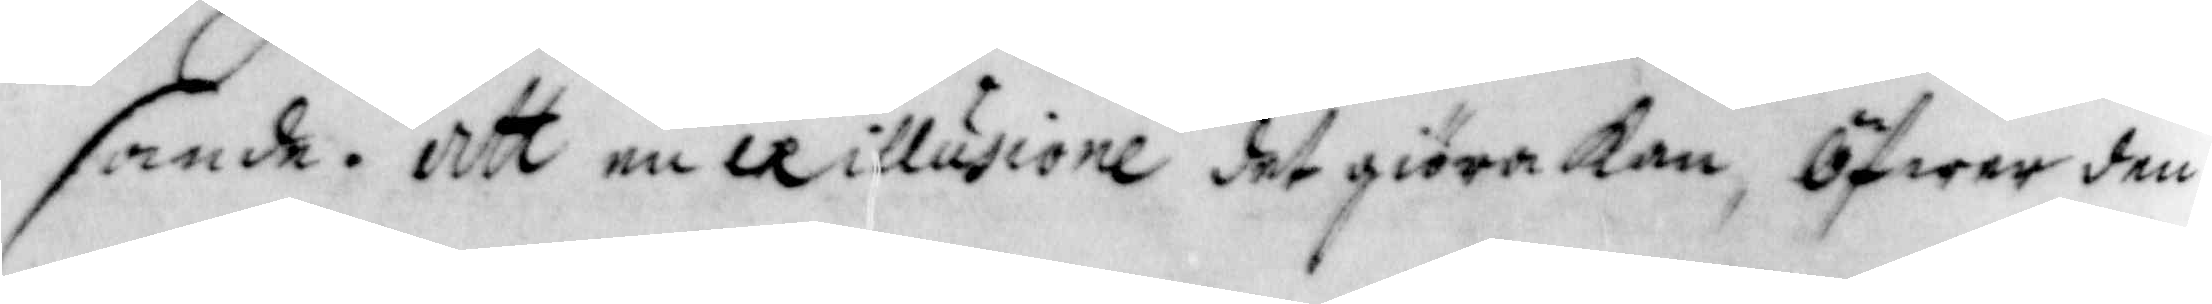sande, att en illusione det giöra kan, Öfwer den
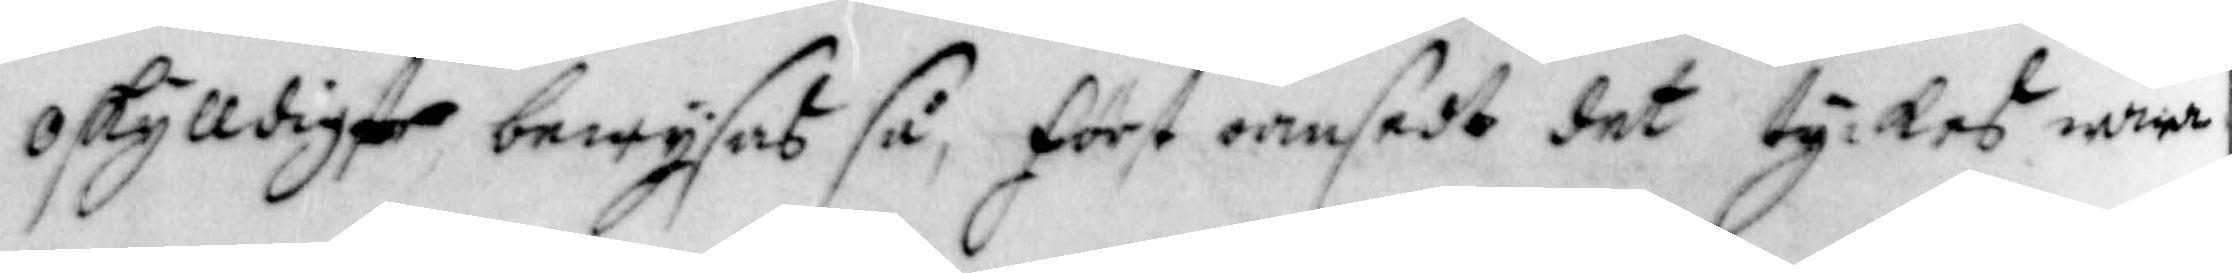oskylldigt bewysas så, först oansedt det tyckes wara
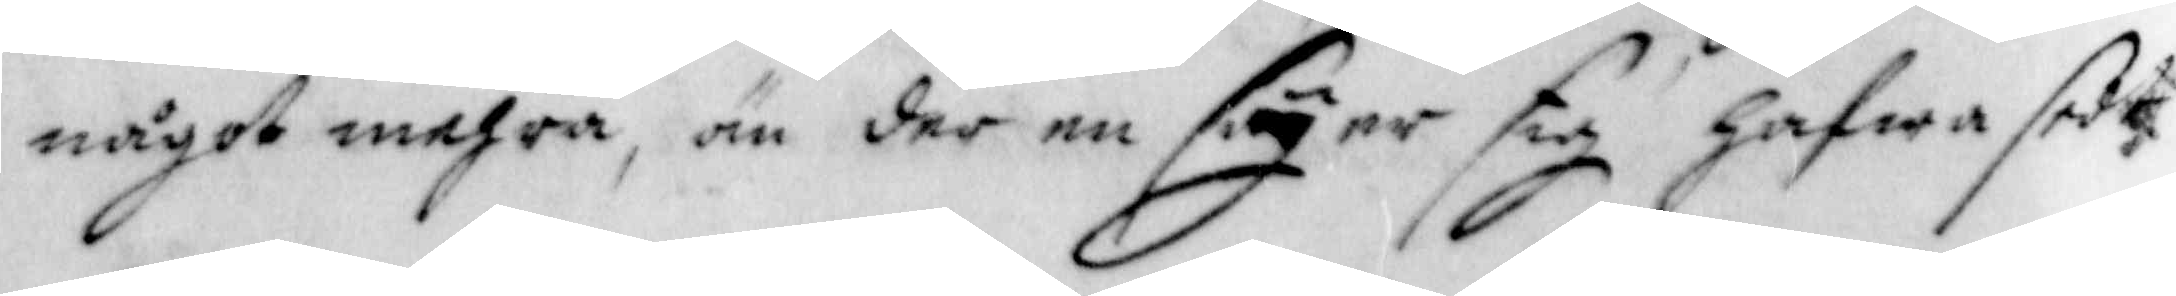något mehra, än der en säyer sig hafwa sedt
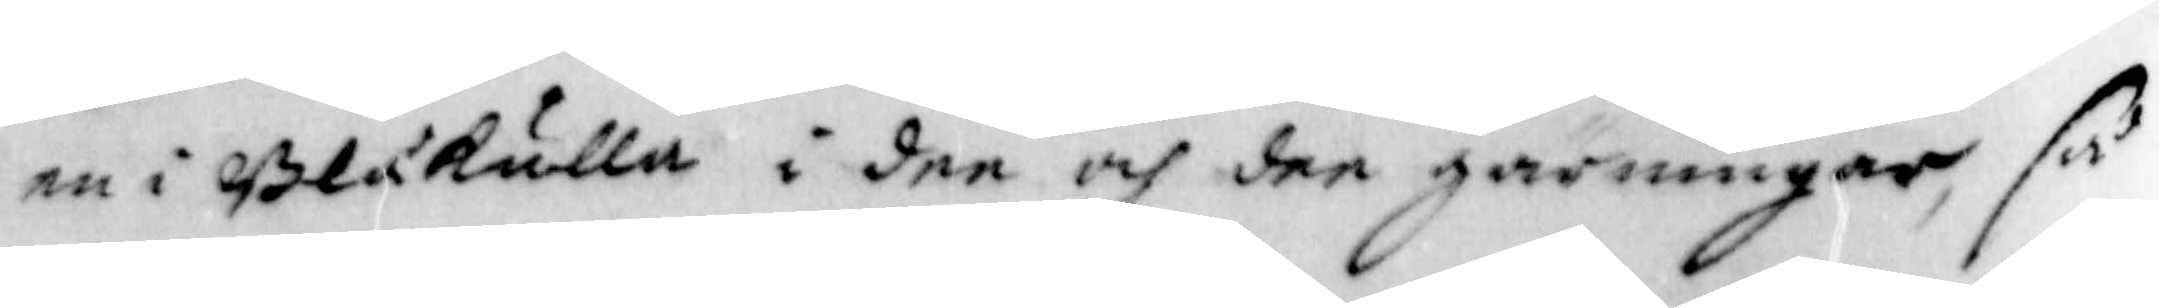en i Blåkulla i den och den giärningen, så
